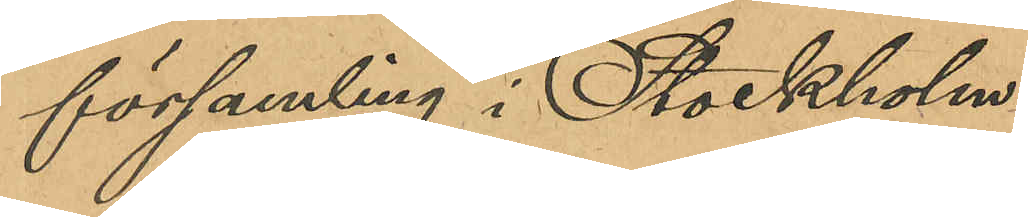församling i Stockholm.
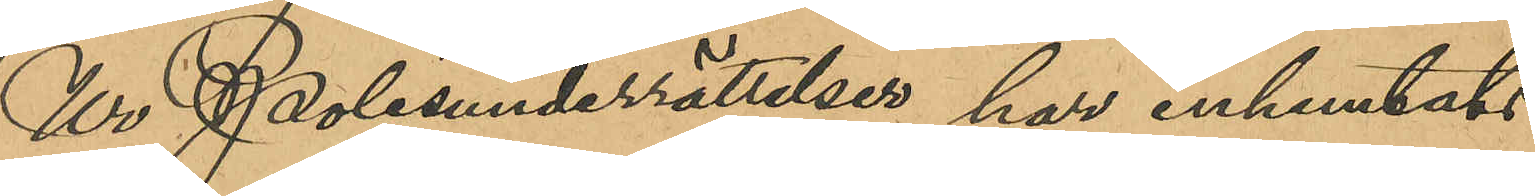Ur Polisunderrättelser har inhemtats
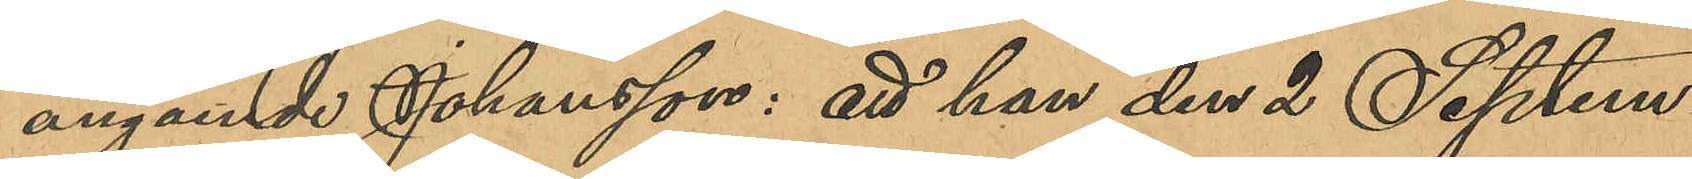angående Johansson: att han den 2 Septem¬
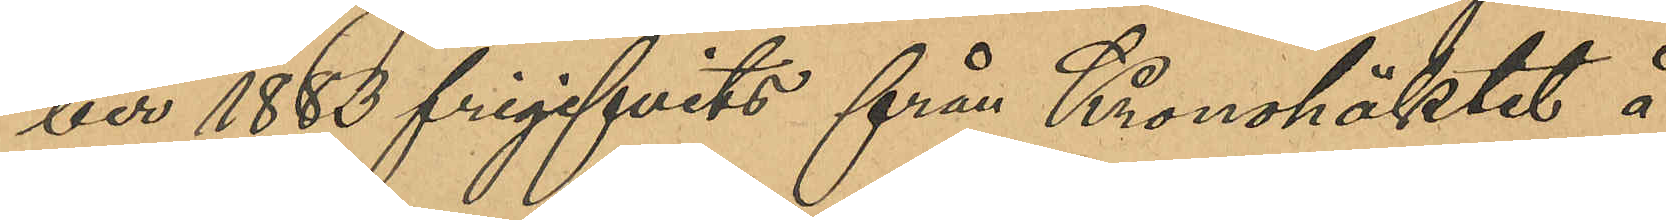ber 1883 frigifvits från Kronohäktet å
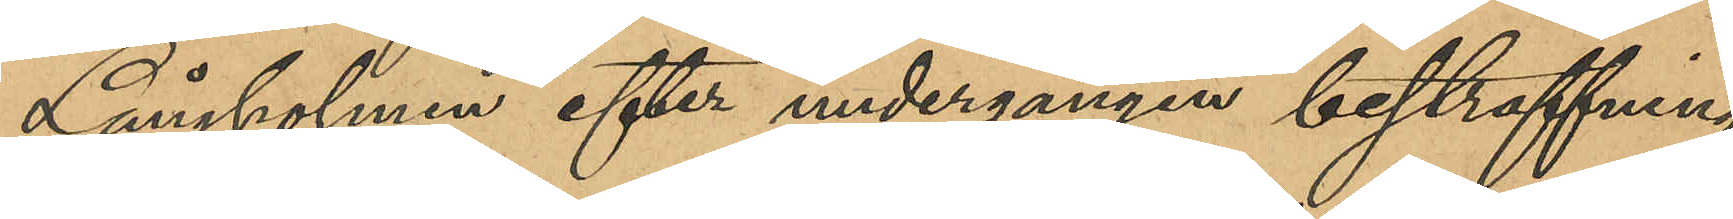Långholmen efter undergången bestraffning
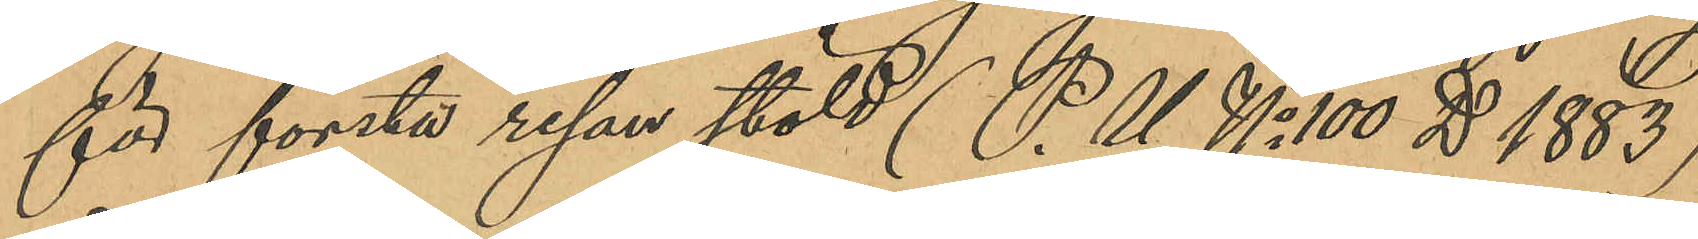för första resan stöld (P.U No 100 D 1883),
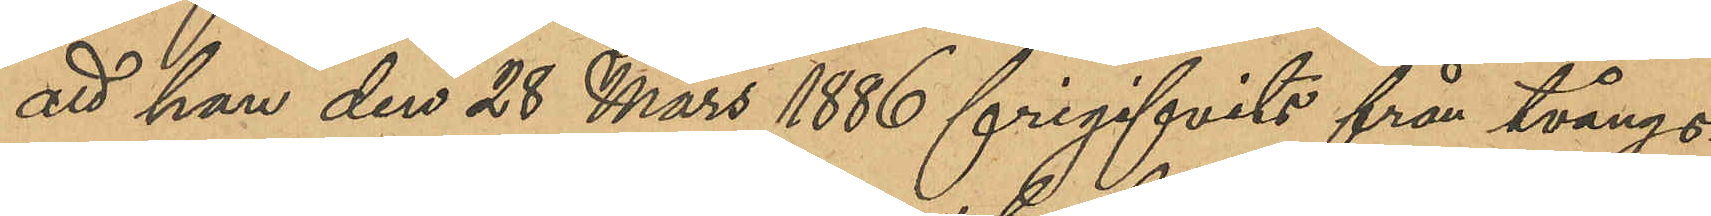att han den 28 Mars 1886 frigifvits från tvångs¬
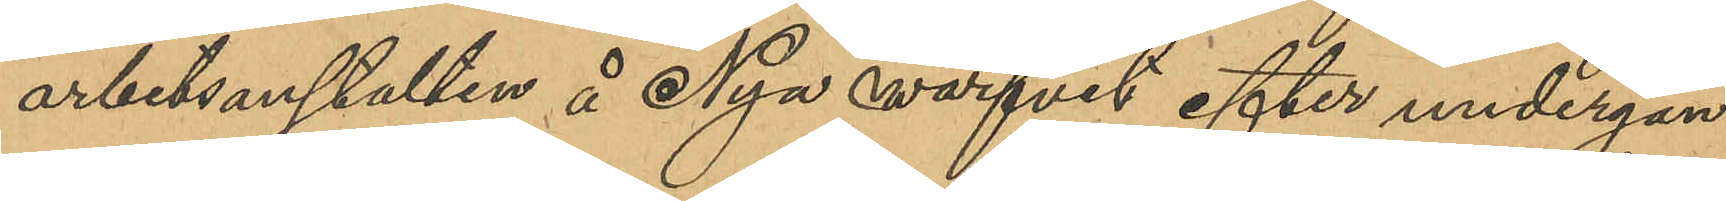arbetsanstalten å Nya Varfvet efter undergån¬
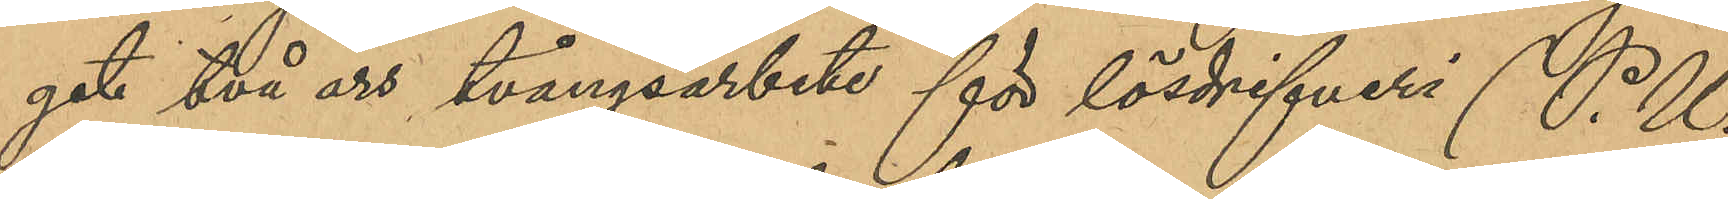get två års tvångsarbete för lösdrifveri (P.U.
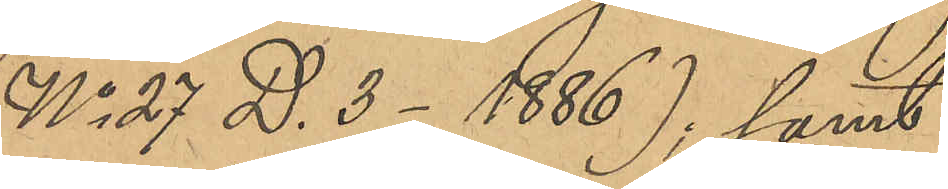No 27 D 3 - 1886); samt
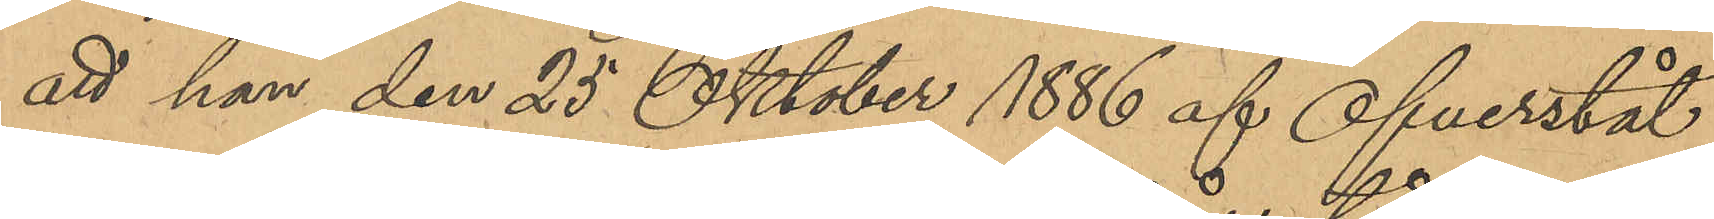att han den 25 Oktober 1886 af Öfverståt¬
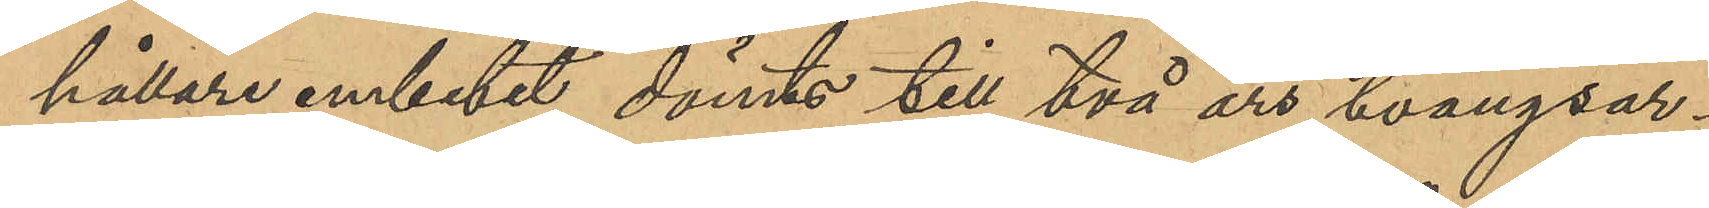hållare embetet dömts till två års tvångsar¬
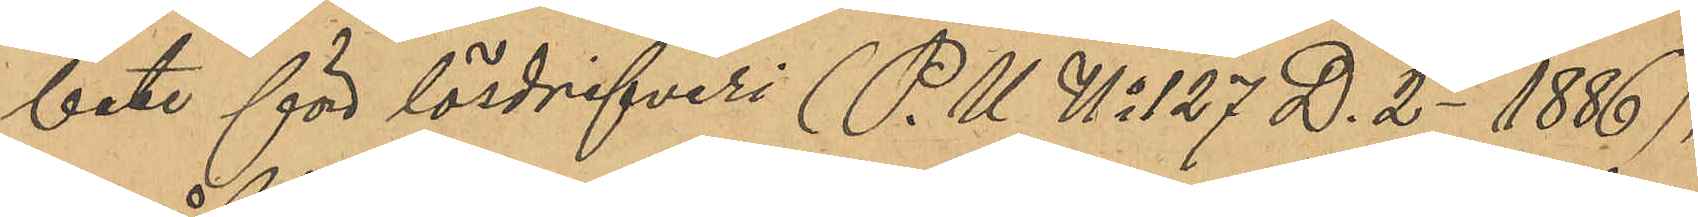bete för lösdrifveri (P.U. No 127 D. 2 - 1886),
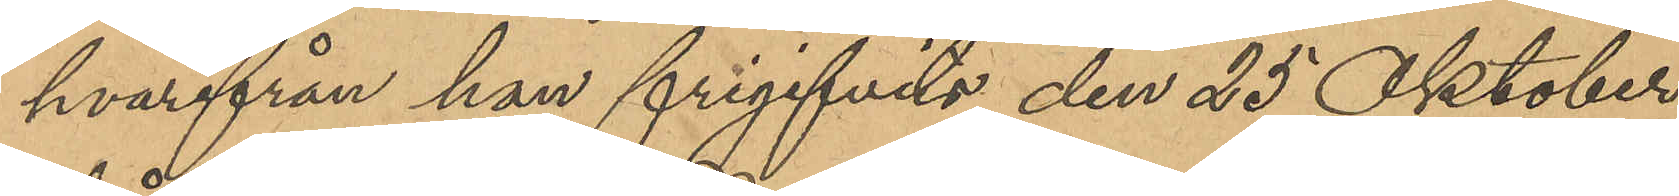hvarifrån han frigifvits den 25 Oktober
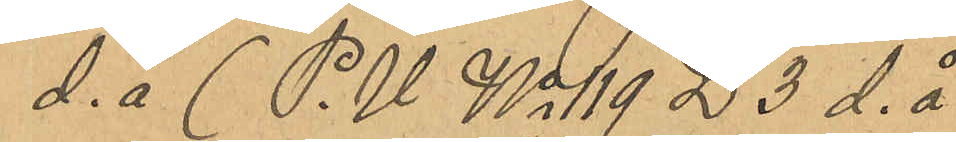d. å (P.U. No 119 D. 3 d. å
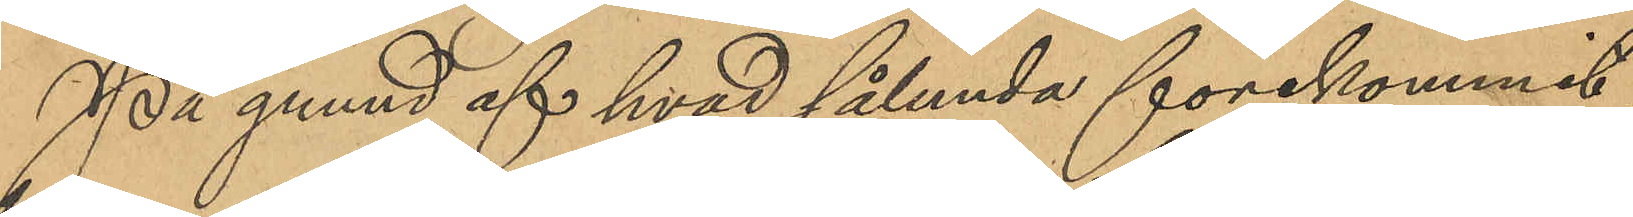På grund af hvad sålunda förekommit
